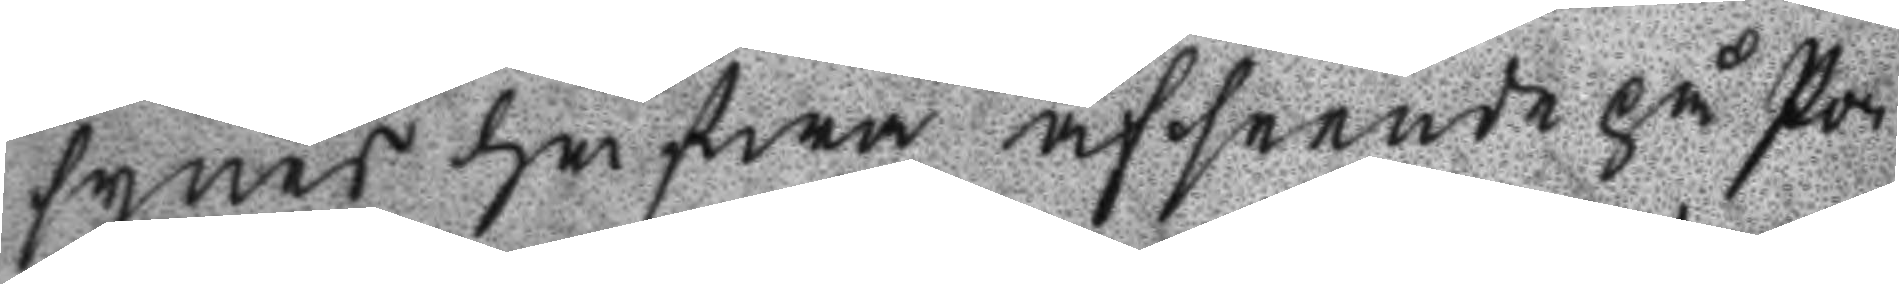synes hafwa afseende på Po¬
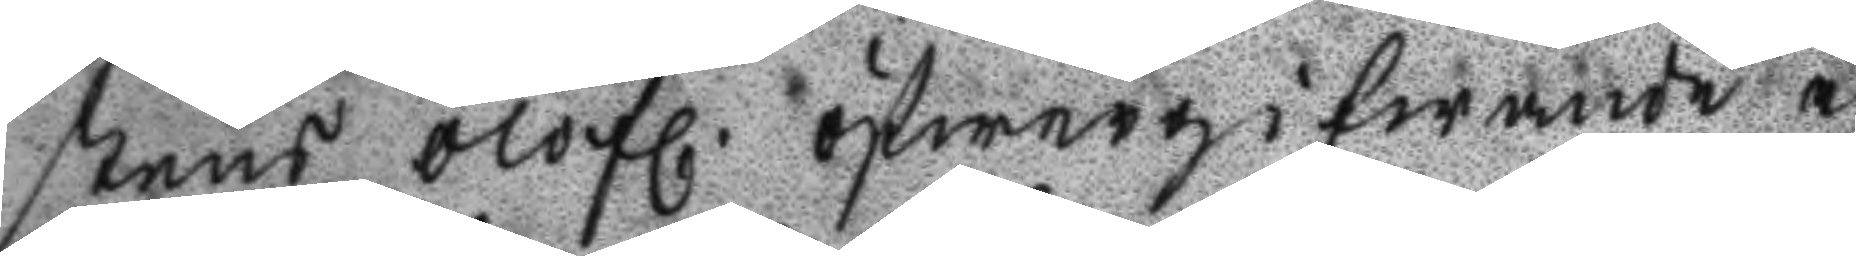stens olofl. öfwergifwande i
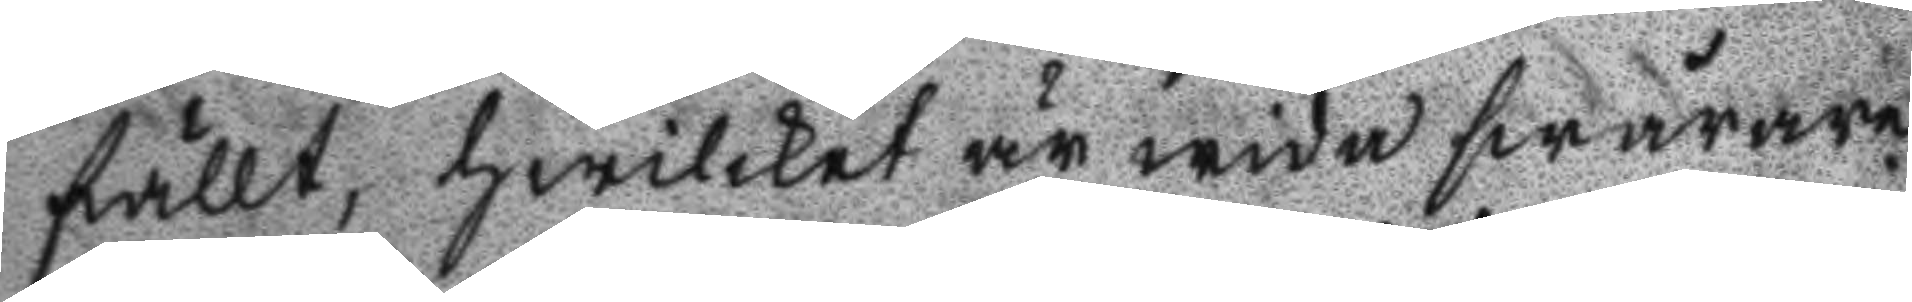fällt, hwilket är wida swårare
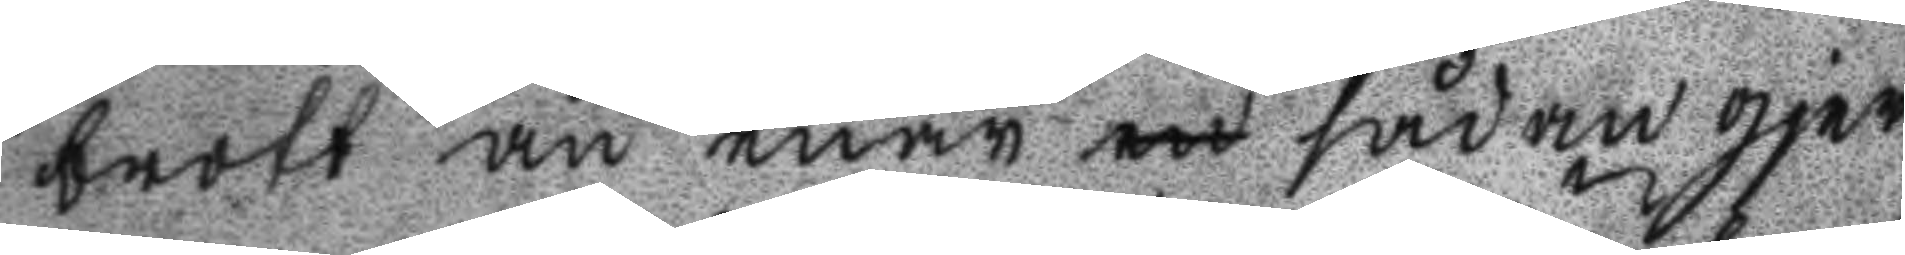brott änenär en sådan gjer
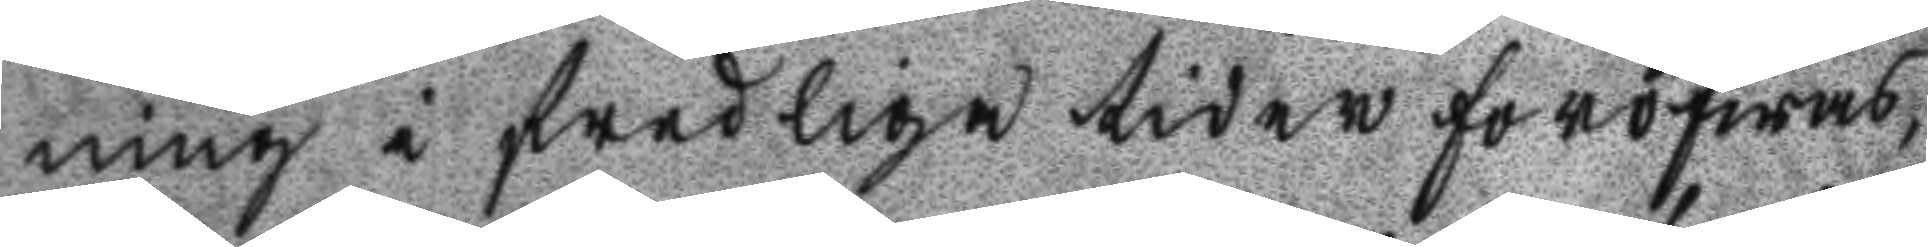ning i fredliga tider föröfwas,
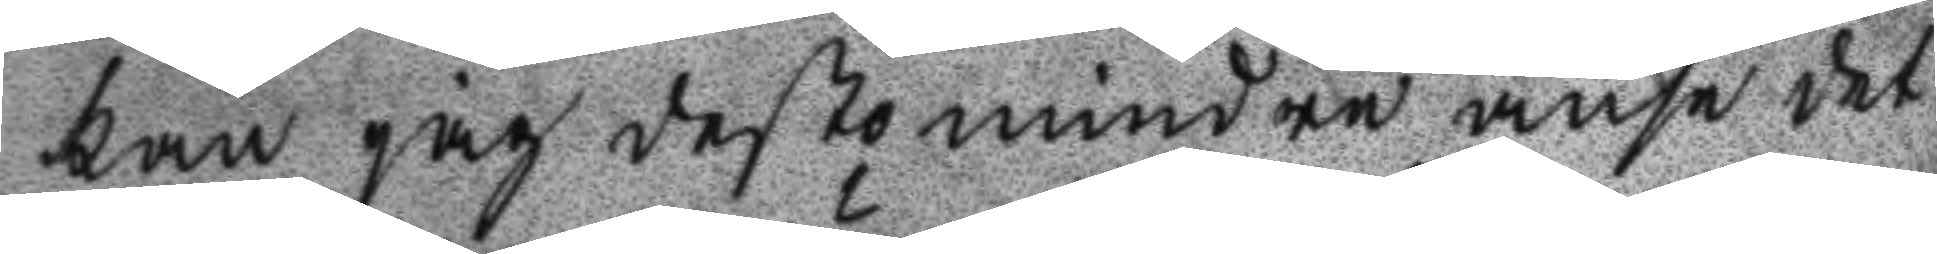kan jag desto mindre anse det
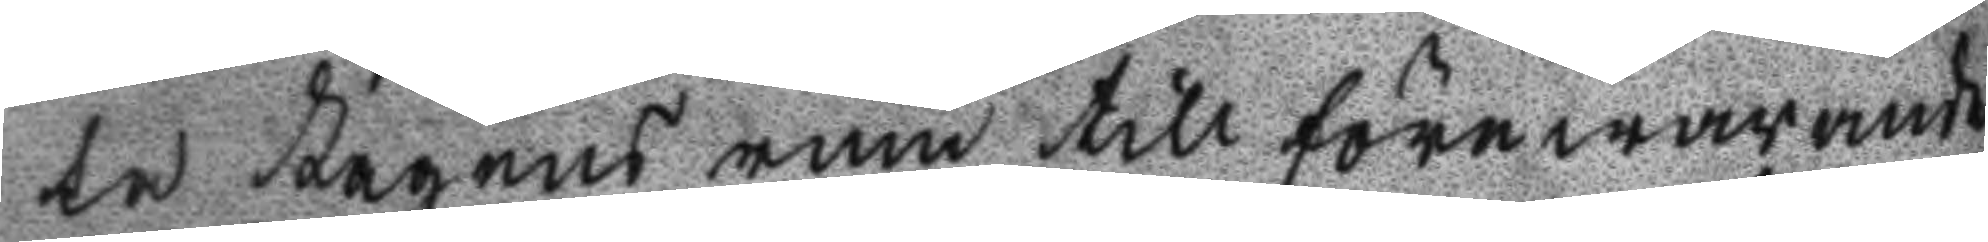ta Lagens rum till förewarande
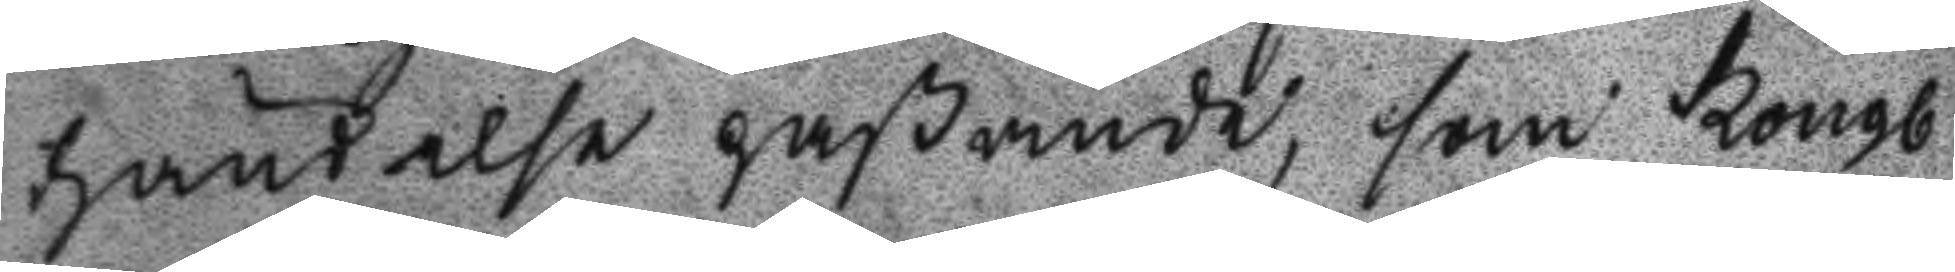händelse paßande, som Kongl
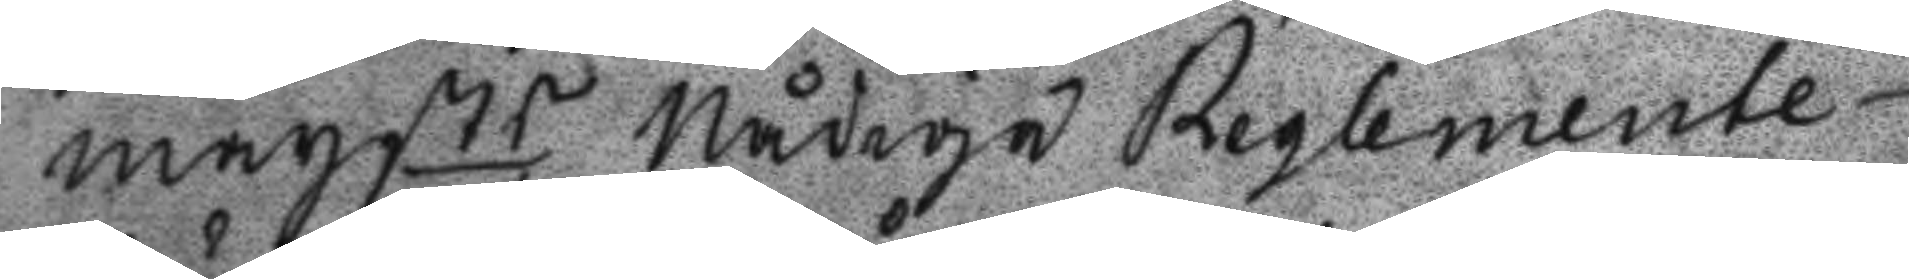maystst Nådige Reglemente
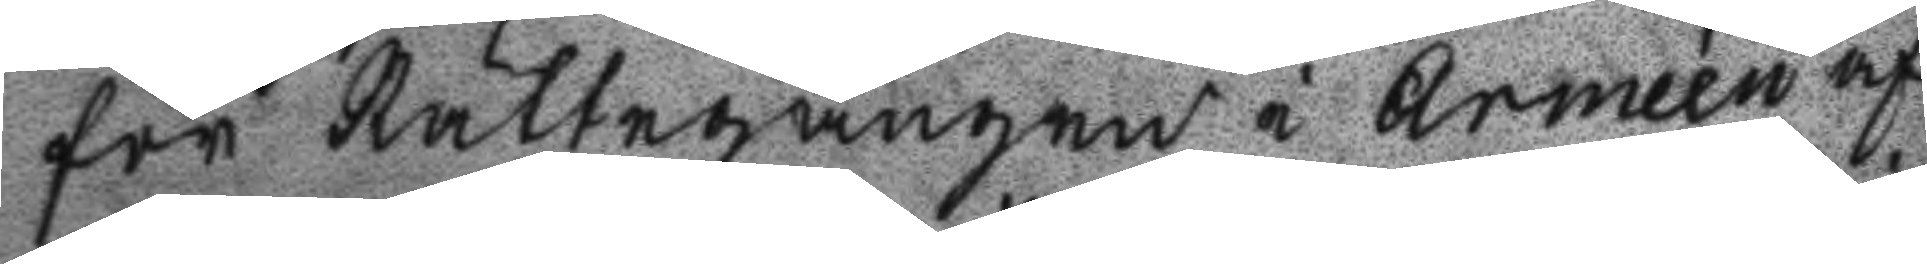för Rättegången i Armeén af
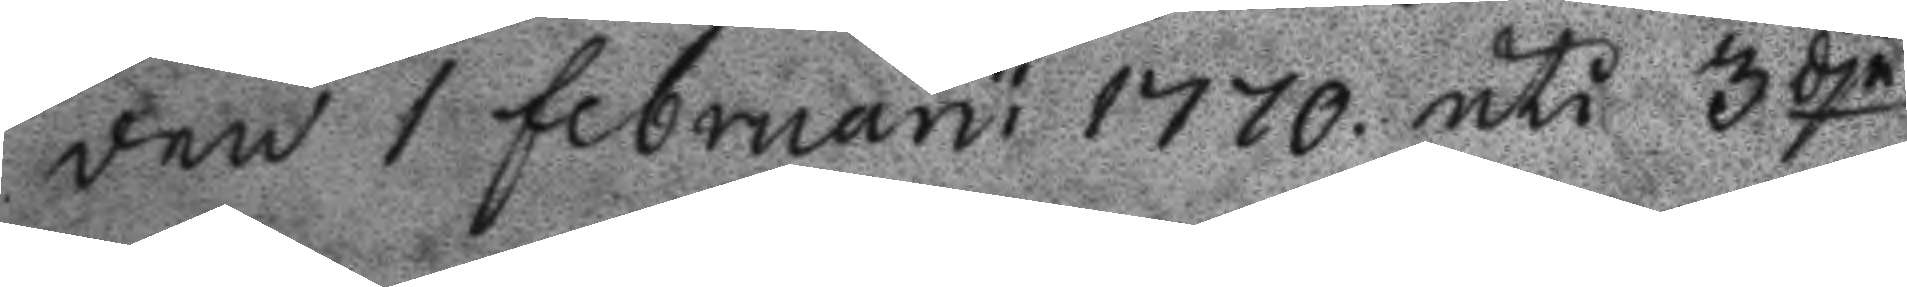den 1 februaru 1770 uti 3dje
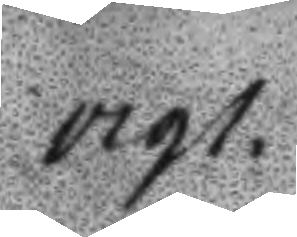1791.
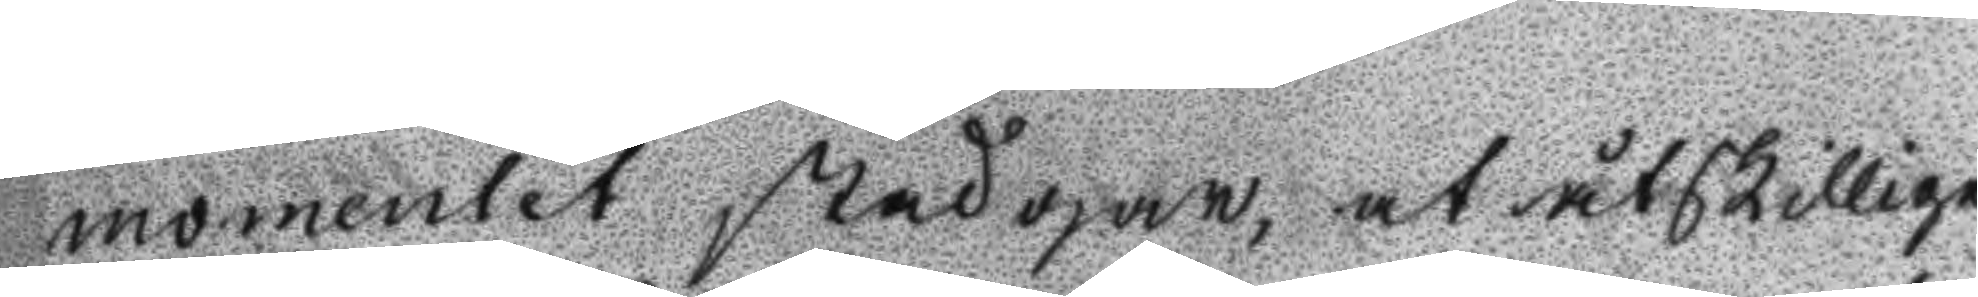momentet stadgar, at åtskillige
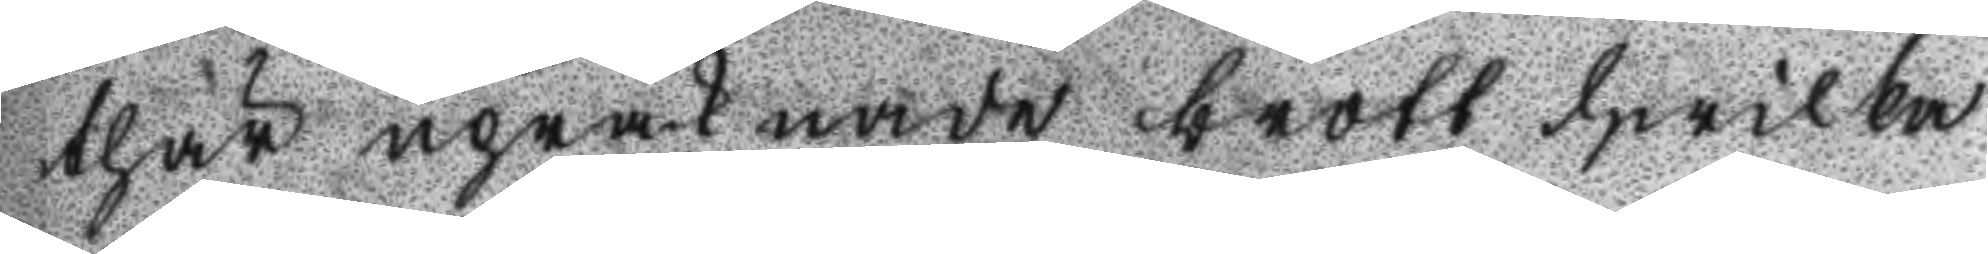thär upräknade brott hwilka
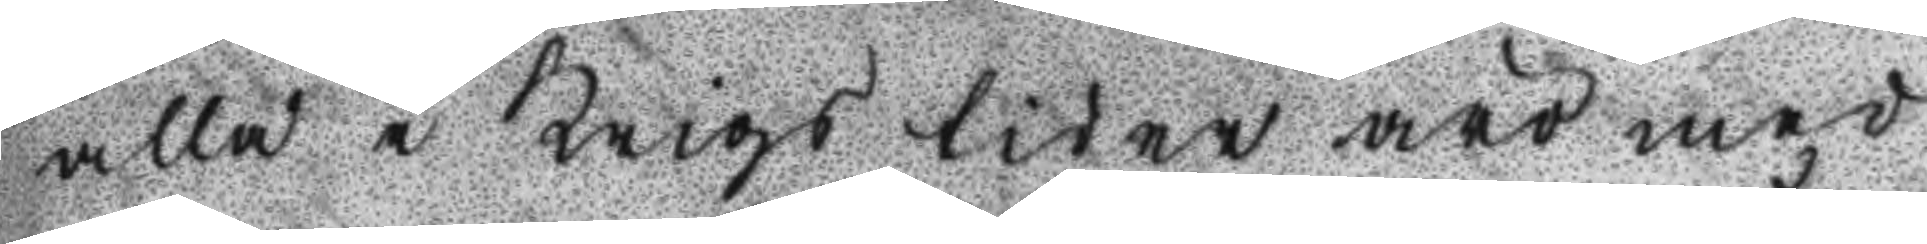alla i krigs tiden äro med
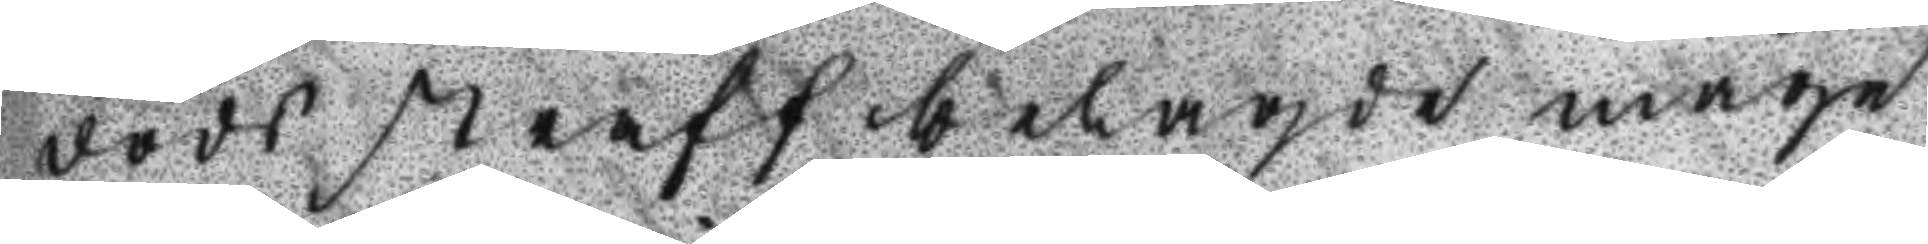dödsstraff belagde måge
